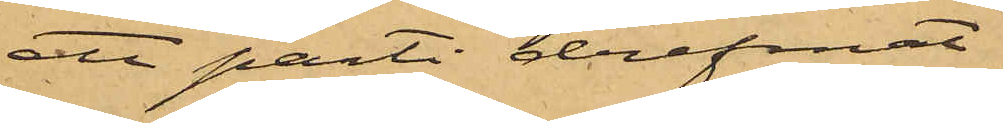att parti drefmat
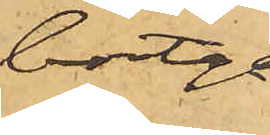bortgå
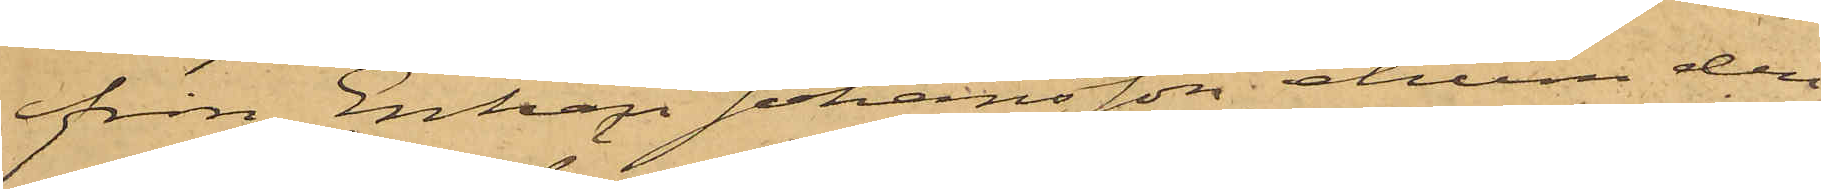från Enkan Johansson, ehuru den¬
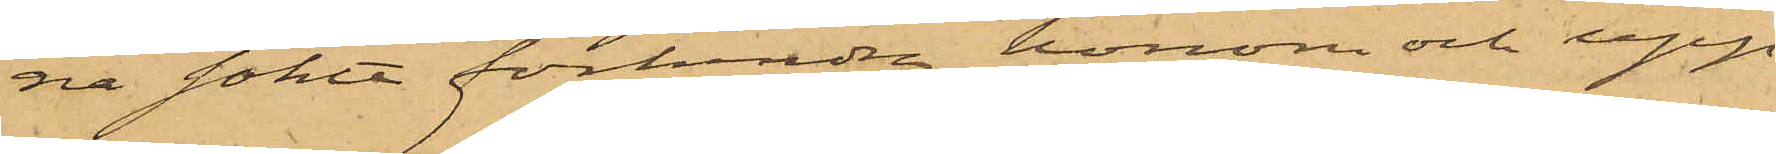na sökte förhindra honom och upp¬
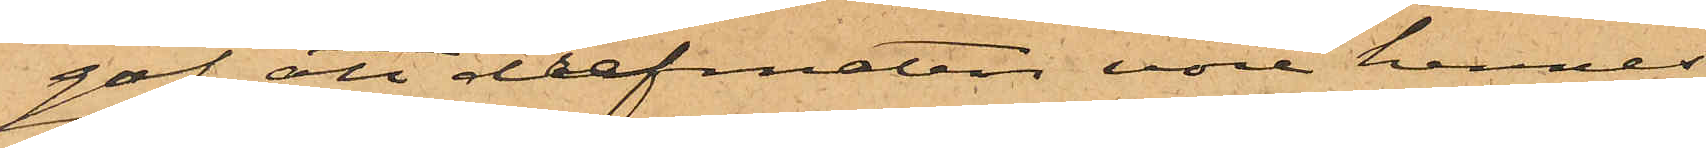gaf att drefmaten vore hennes.
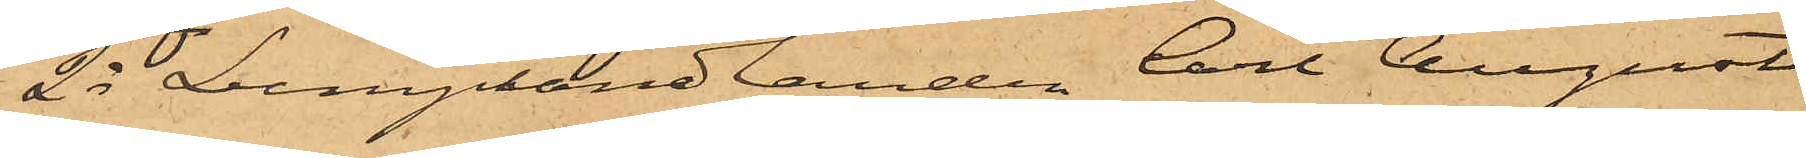2o Lumphandlanden Carl August
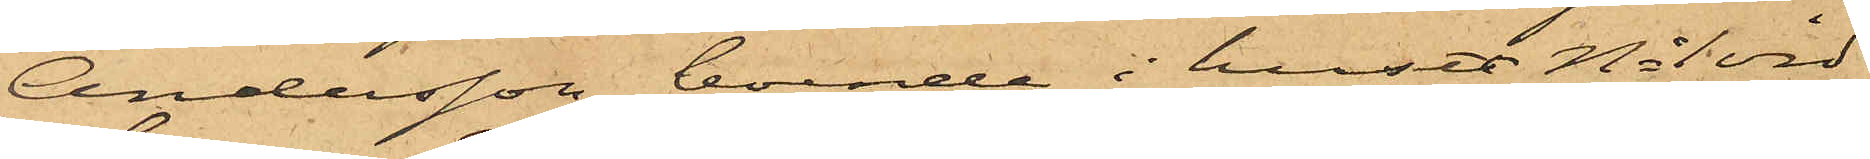Andersson, boende i huset No 1 vid
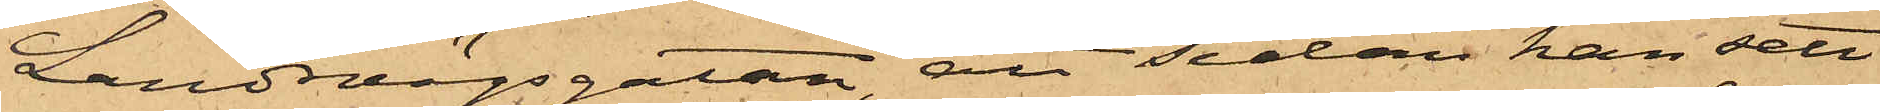Landsvägsgatan, att sedan han sett
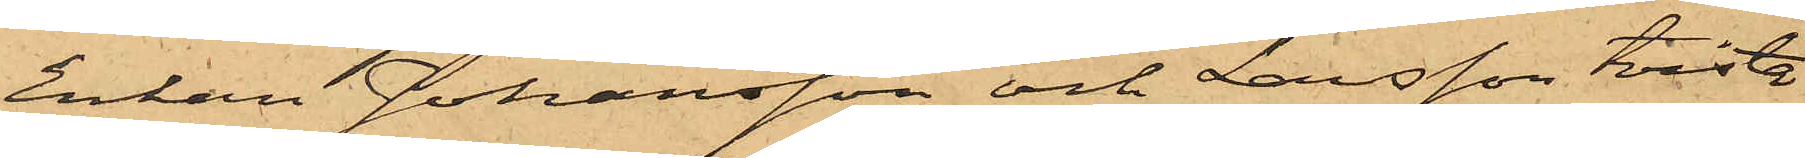Enkan Johansson och Larsson tvista
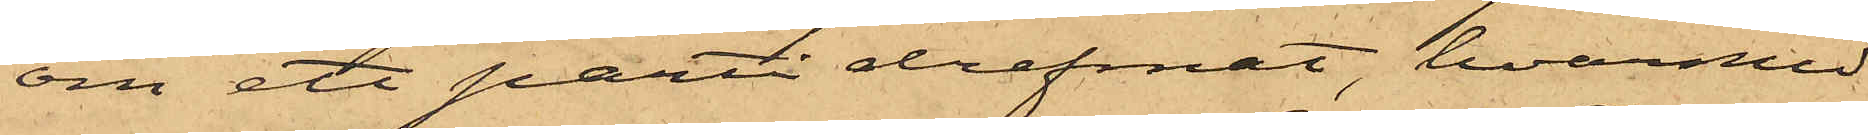om ett parti drefmat, hvarmed
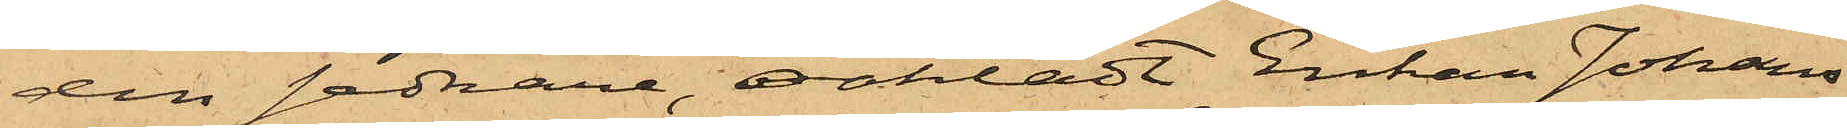den sednare, oaktadt Enkan Johans¬
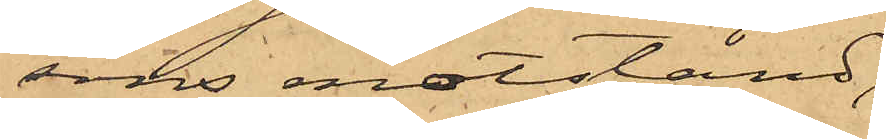sons motstånd,
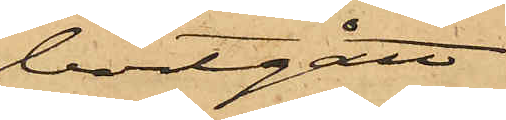bortgått
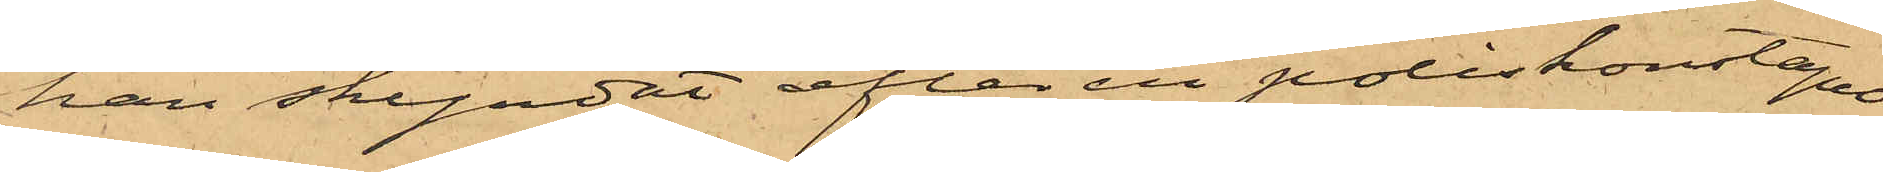han skyndat efter en poliskonstapel,
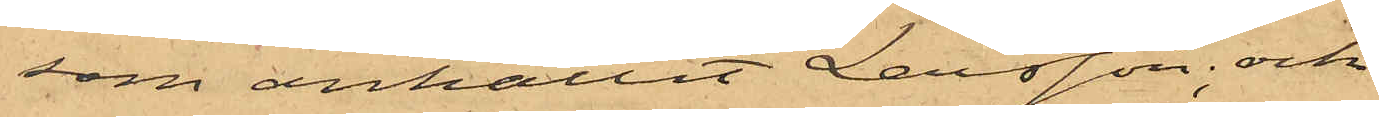som anhållit Larsson; och
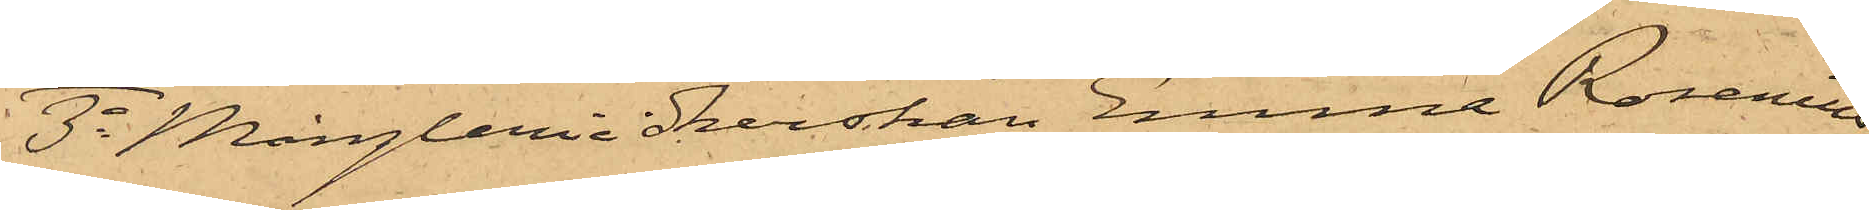3o Mångleriidkerskan Emma Rosenius,
